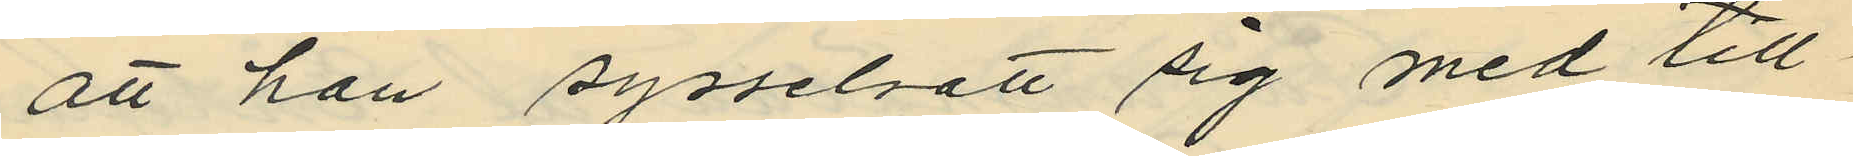att han sysselsatt sig med till¬
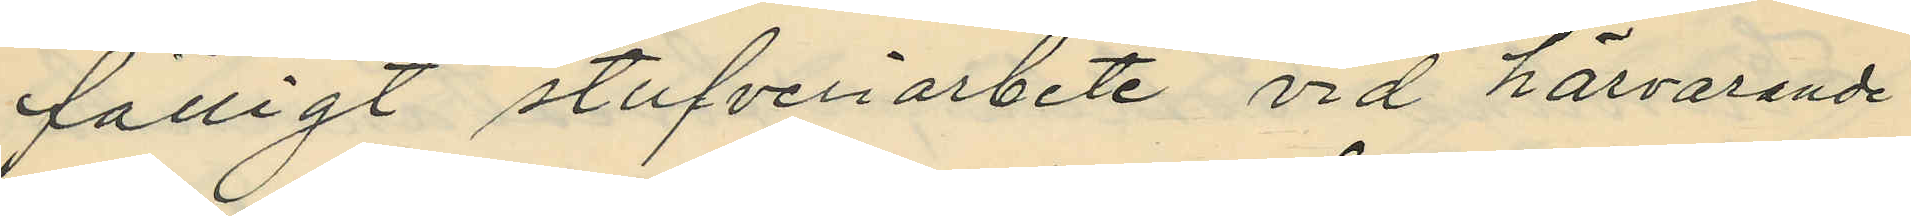fälligt stufveriarbete vid härvarande
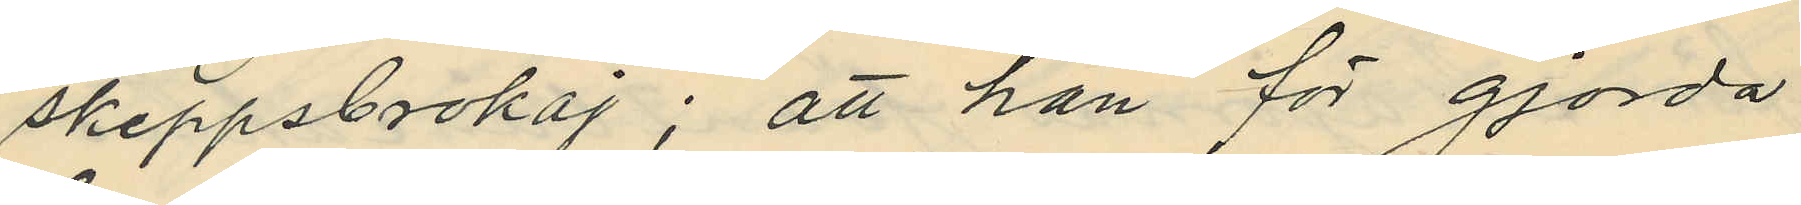skeppsbrokaj; att han för gjorda
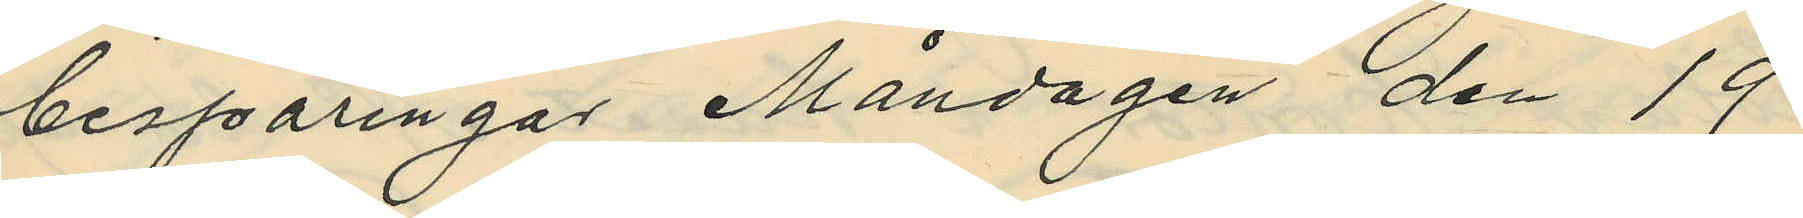besparingar Måndagen den 19
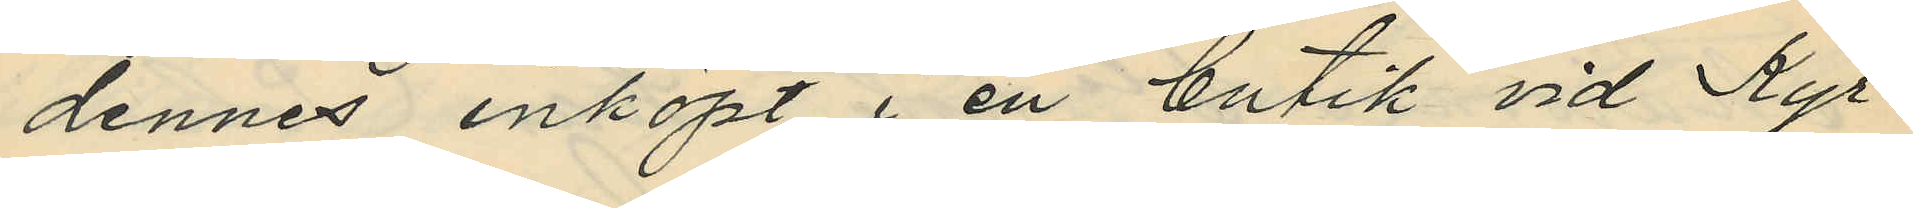dennes inköpt i en butik vid Kyr¬
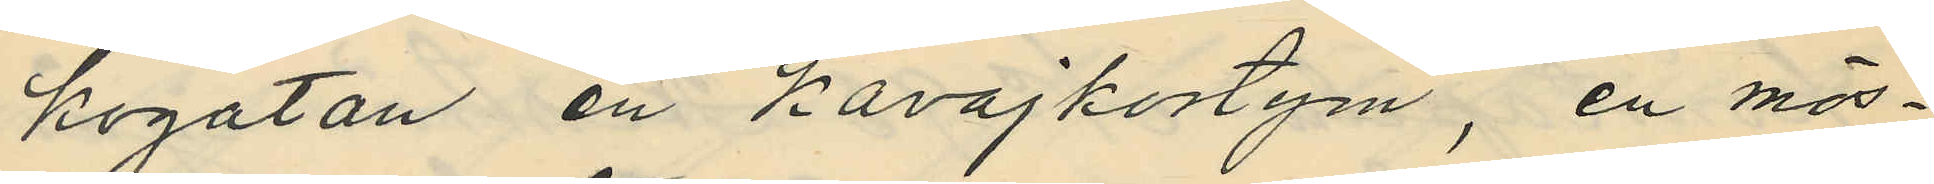kogatan en Kavajkostym, en mös¬
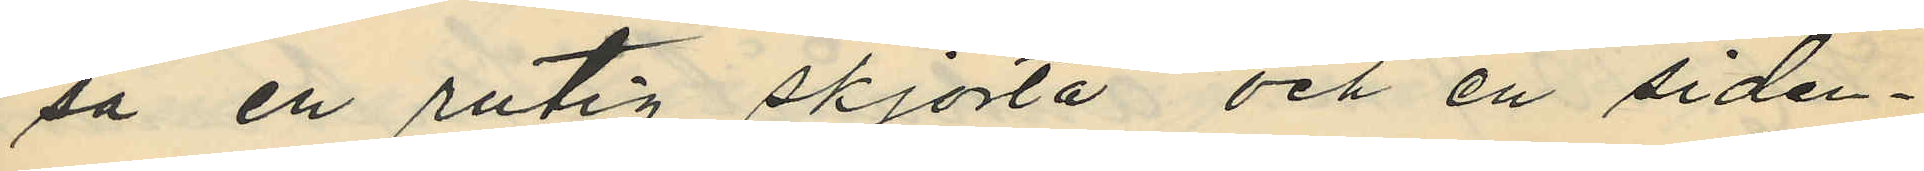så en rutig skjorta och en siden¬
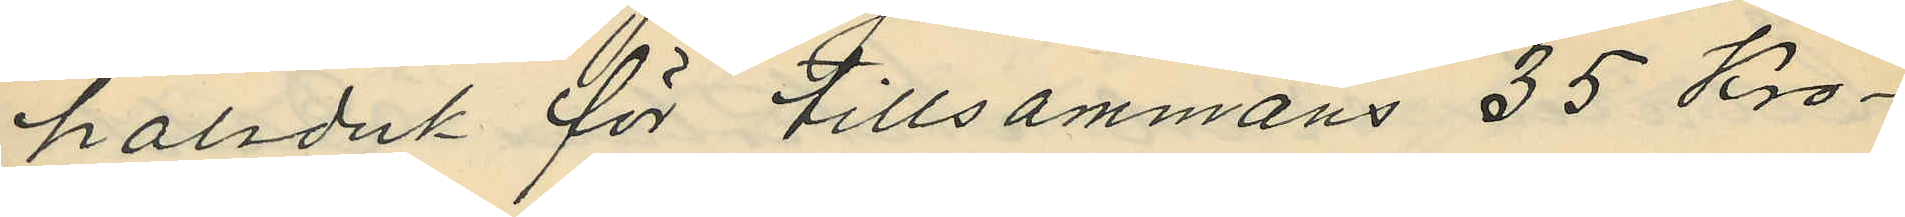halsduk för tillsammans 35 Kro¬
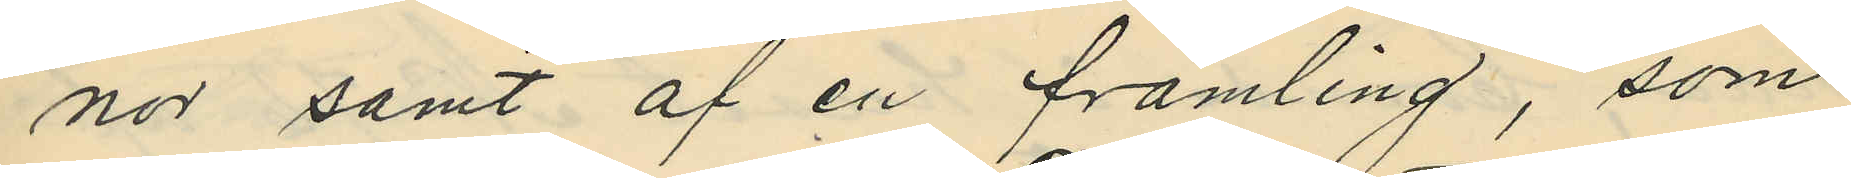nor samt af en främling, som
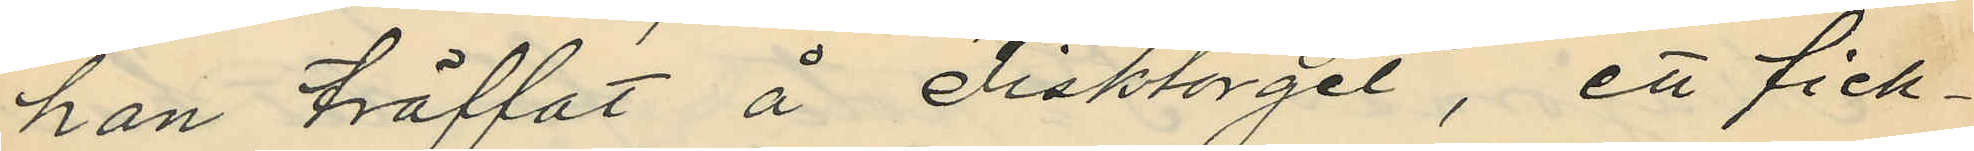han träffat å Fisktorget, ett fick¬
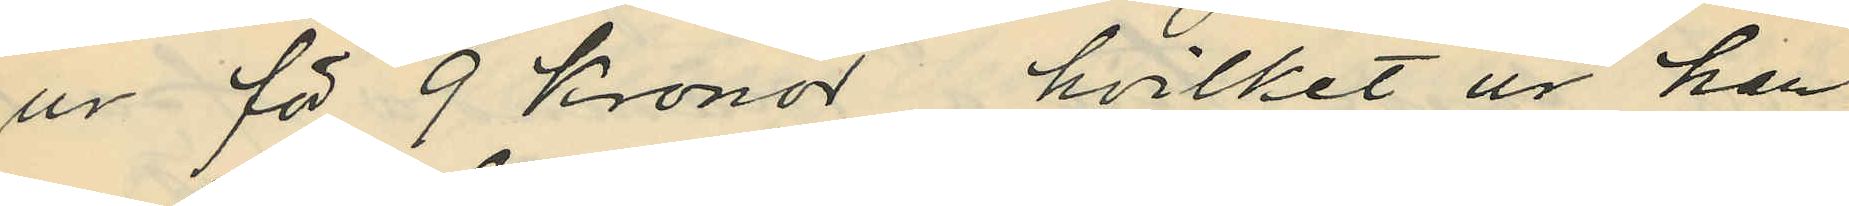ur för 9 kronor, hvilket ur han
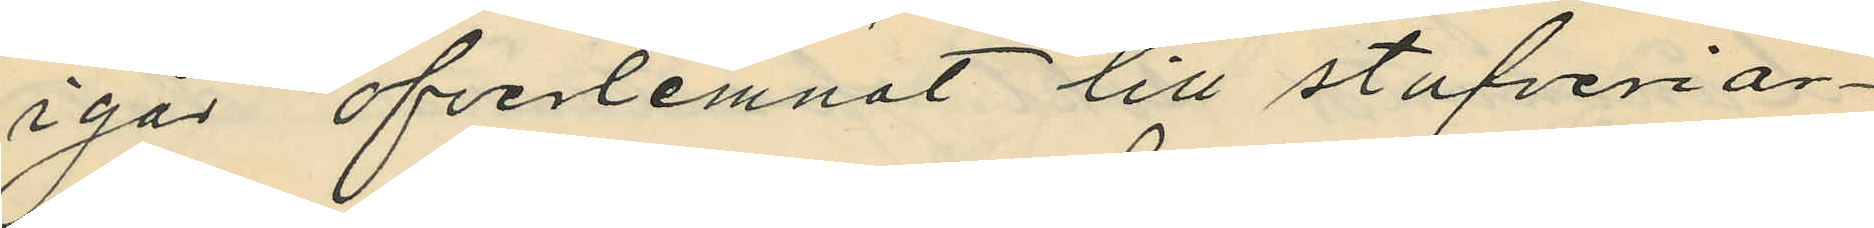igår öfverlemnat till stufveriar¬
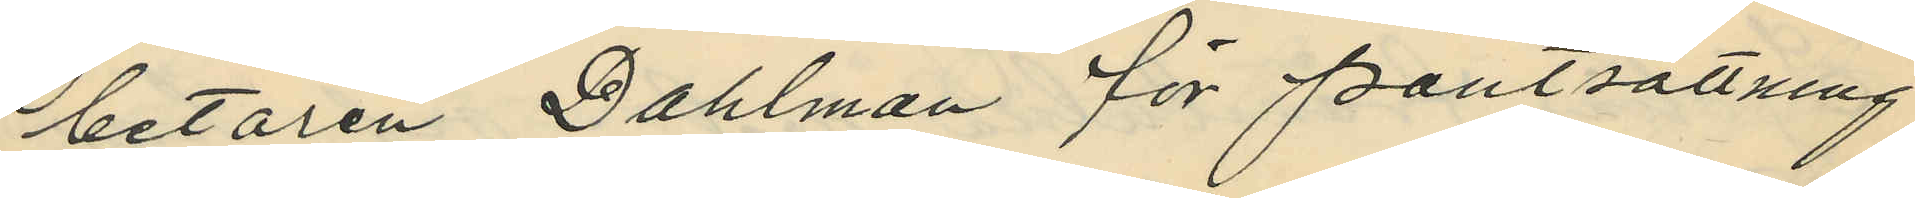betaren Dahlman för pantsättning
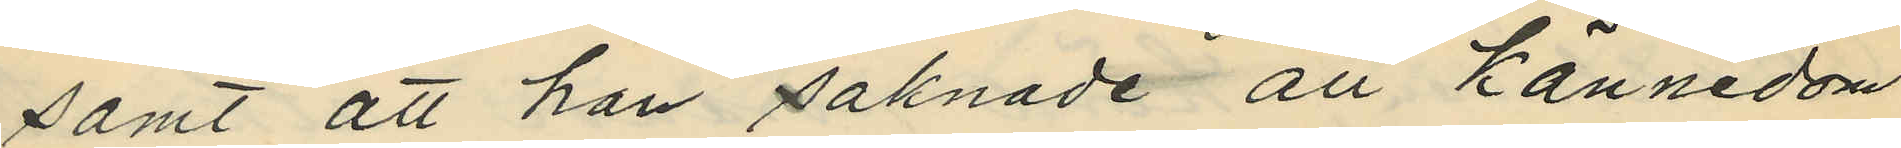samt att han saknade all kännedom
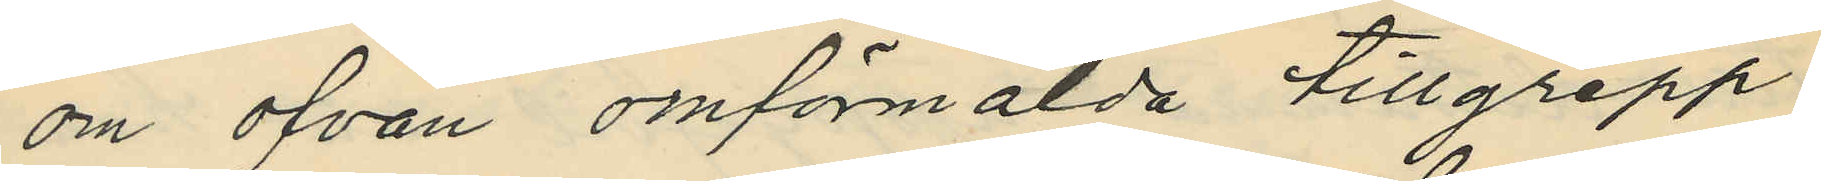om ofvan omförmälda tillgrepp,
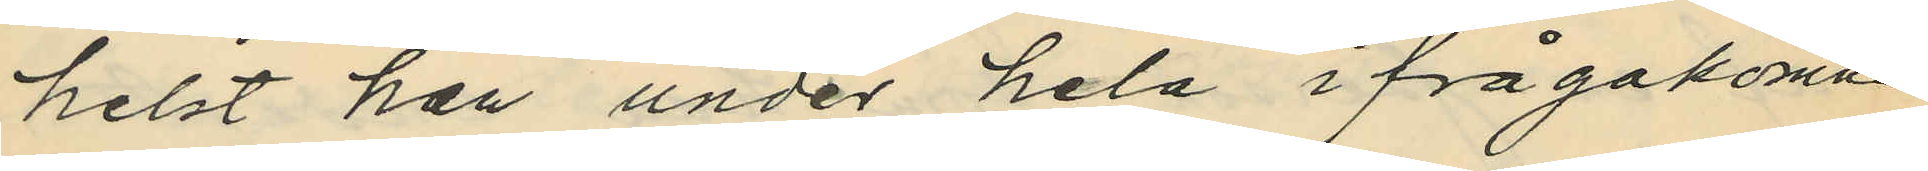helst han under hela ifrågakomna
